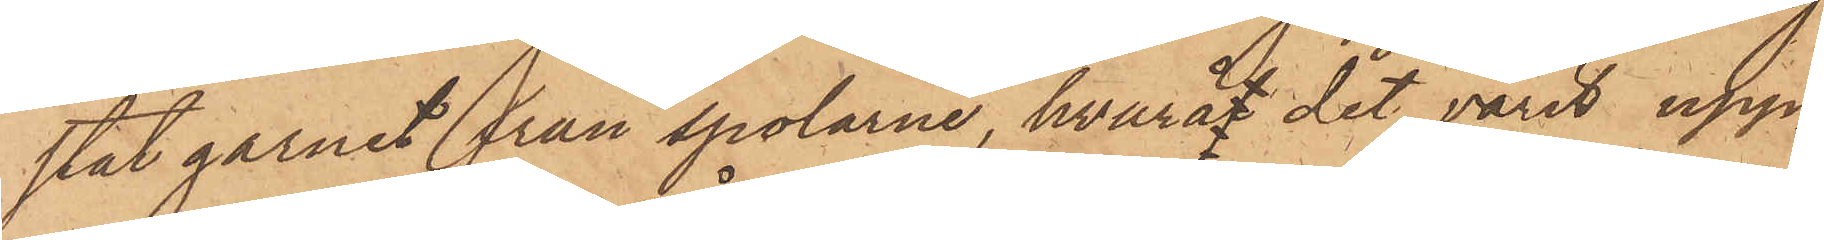stat garnet från spolarne, hvaraf det varit upp¬
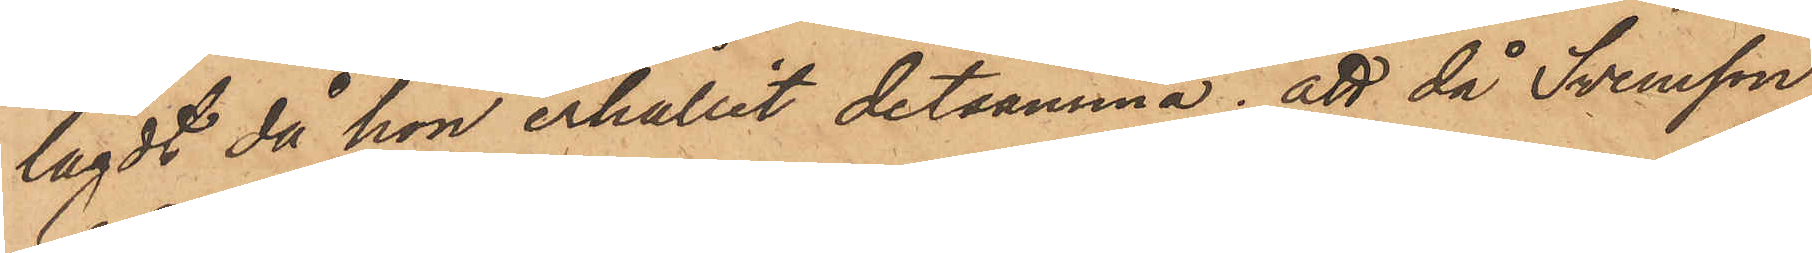lagdt då hon erhållit detsamma; att då Svensson
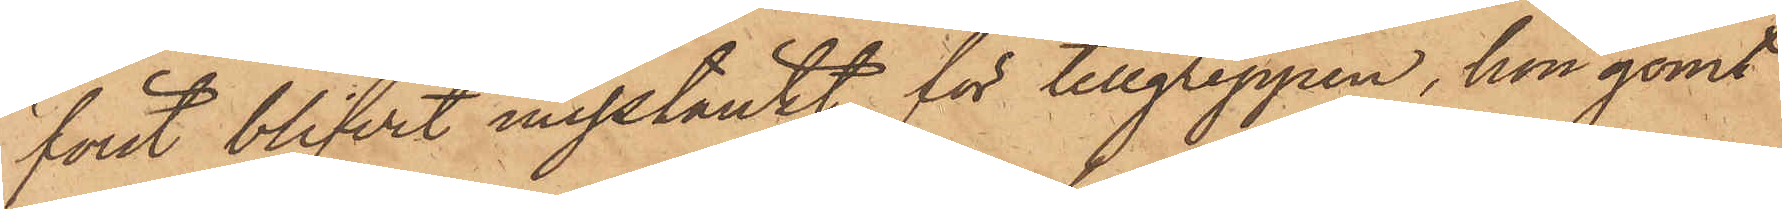först blifvit misstänkt för tillgreppen, hon gömt
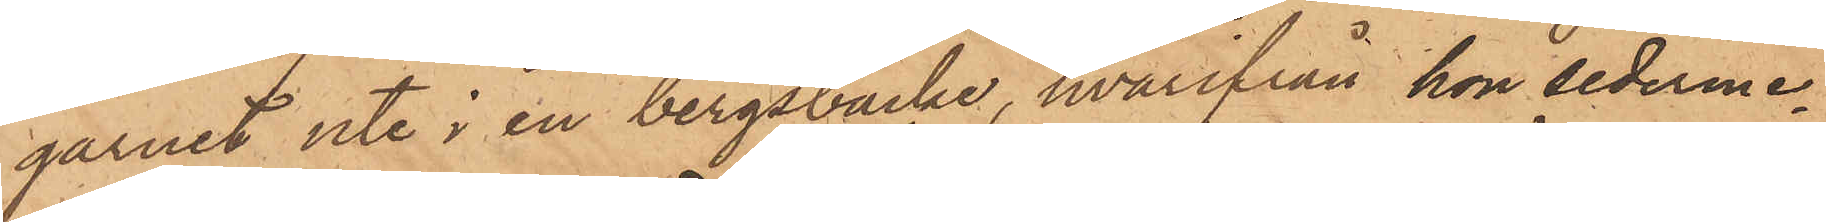garnet uti i en bergsbacke, hvarifrån hon sederme¬
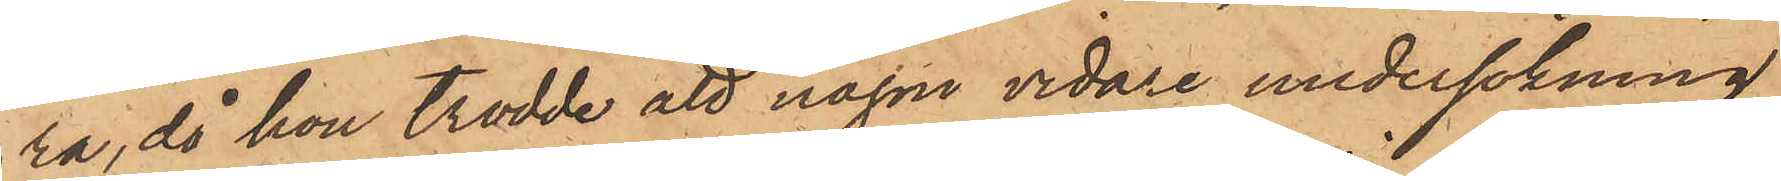ra, då hon trodde att någon vidare undersökning
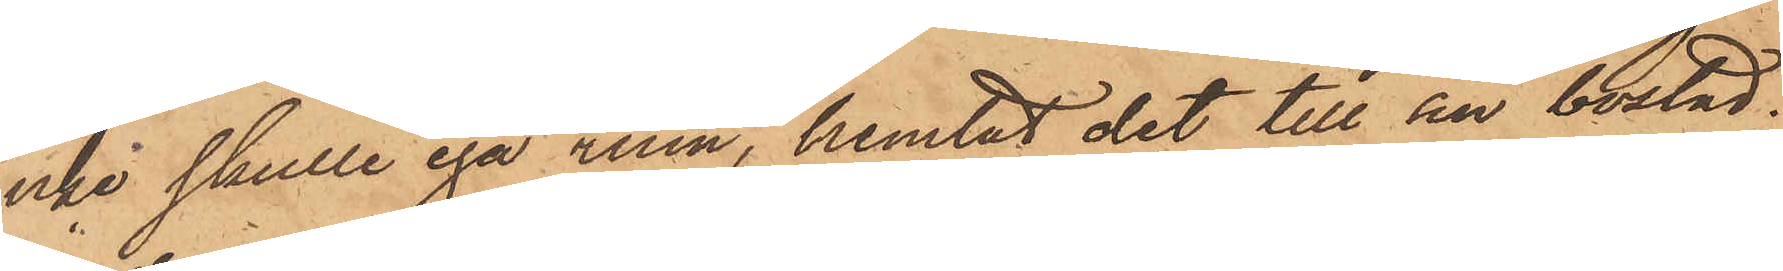icke skulle ega rum, hemtat det till sin bostad;
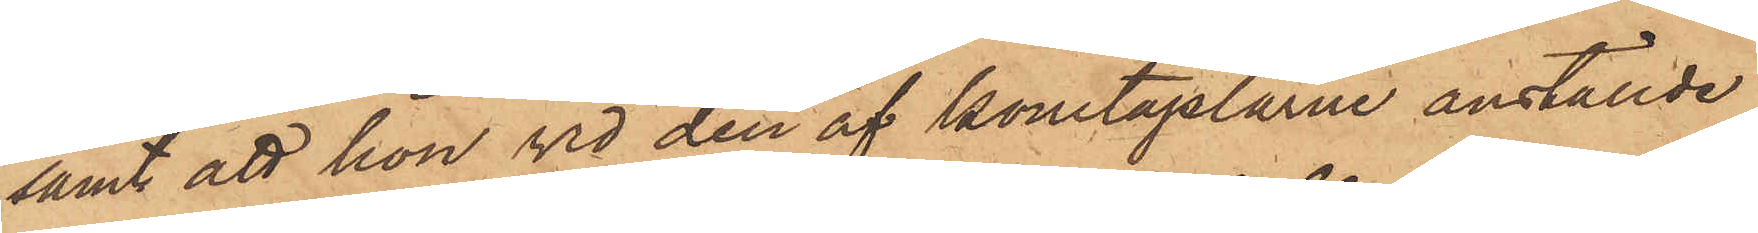samt att hon vid den af konstaplarne anställde
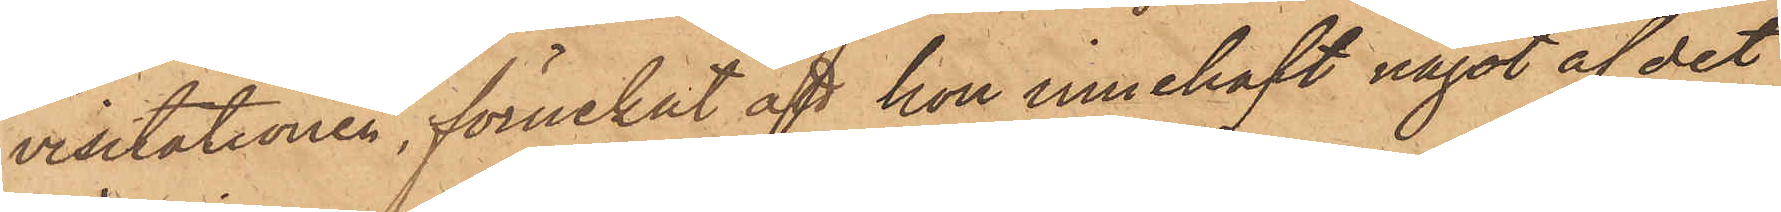visitationen, förnekat att hon innehaft något af det
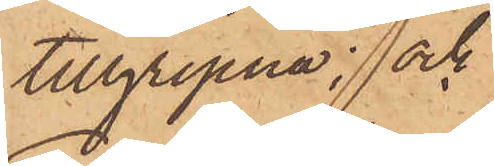tillgripna; och
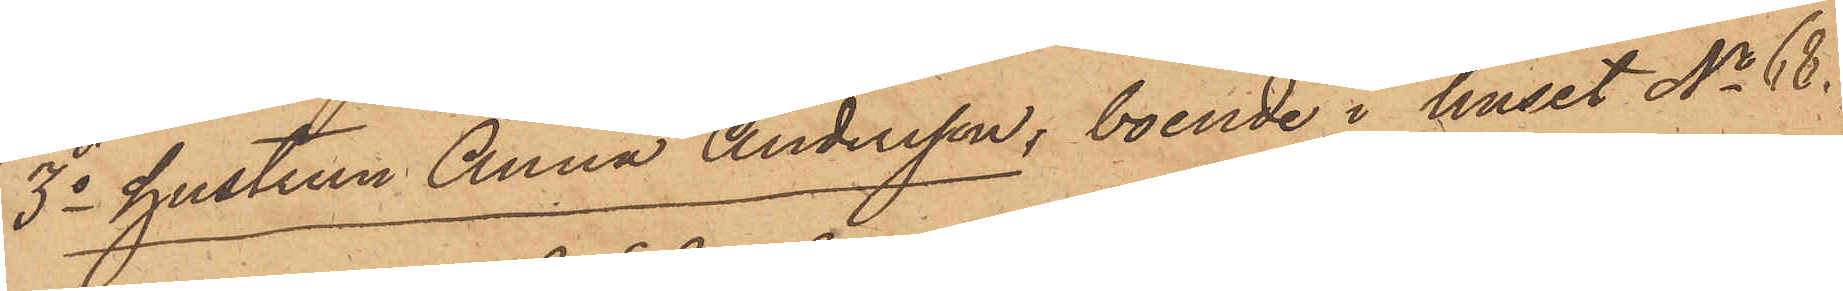3o hustrun Anna Andersson, boende i huset No 68.
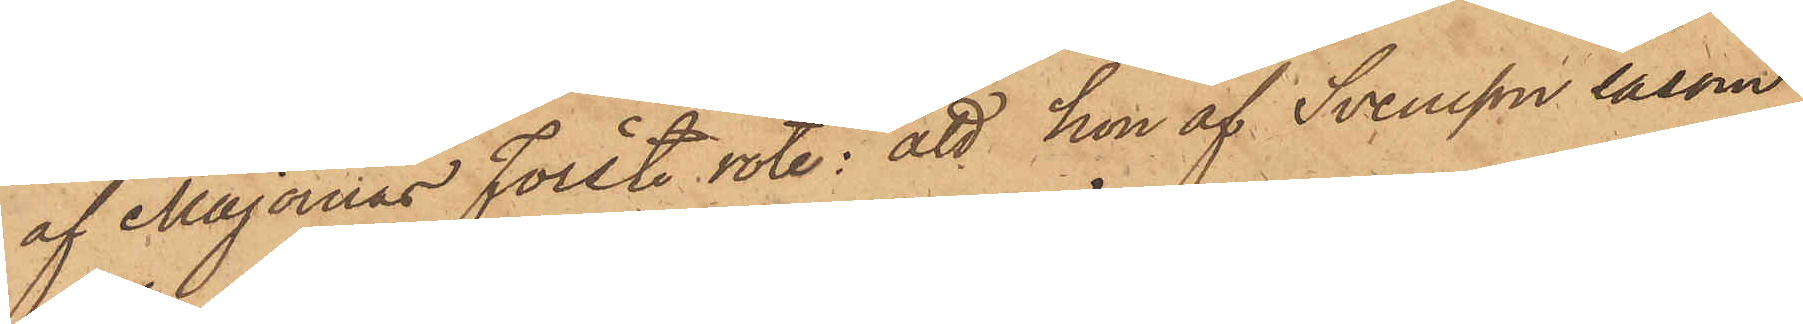af Majornas Förste rote: att hon af Svensson såsom
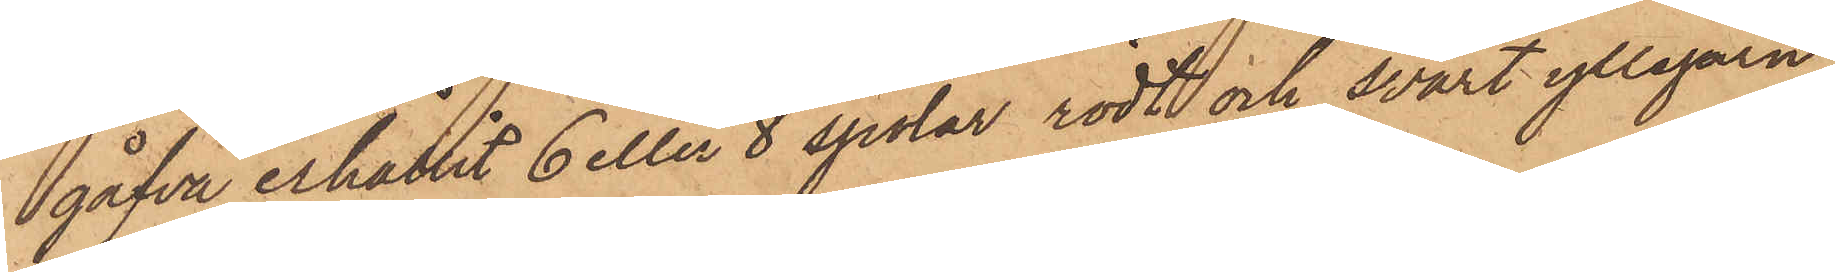gåfva erhållit 6 eller 8 spolar rödt och svart yllegarn
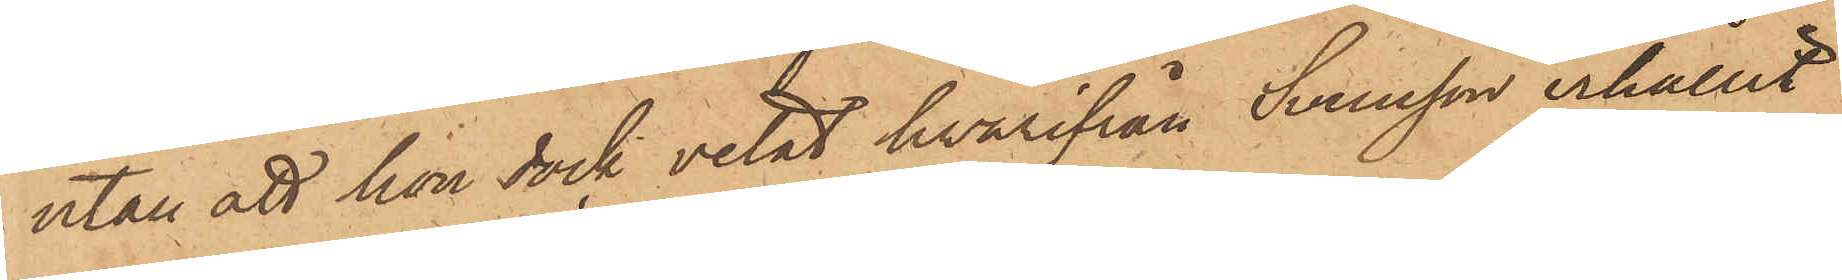utan att hon dock vetat hvarifrån Svensson erhållit
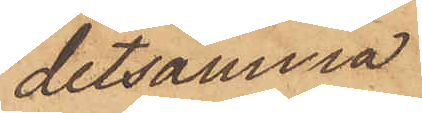detsamma
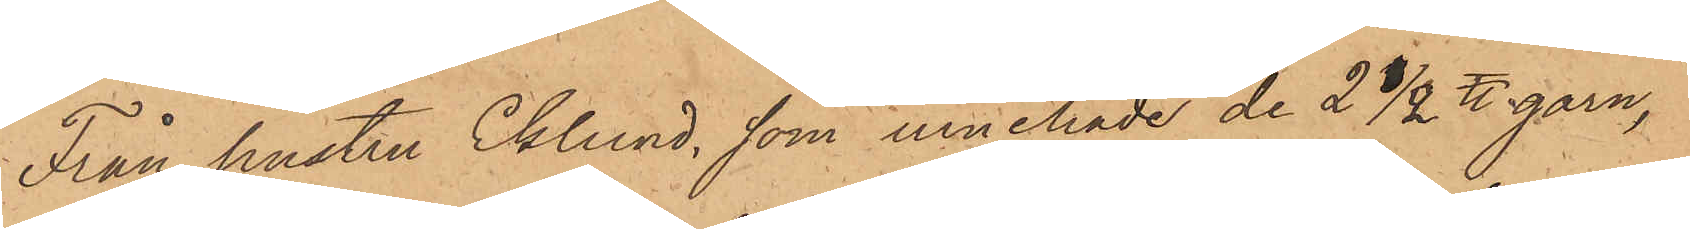Från hustru Eklund, som innehade de 2 1/2 ℔ garn,
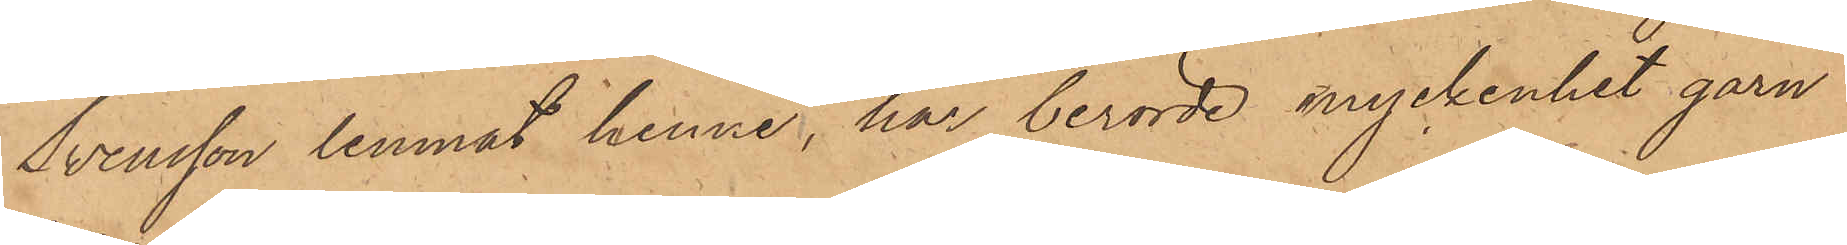Svensson lemnat henne, har berörde myckenhet garn
